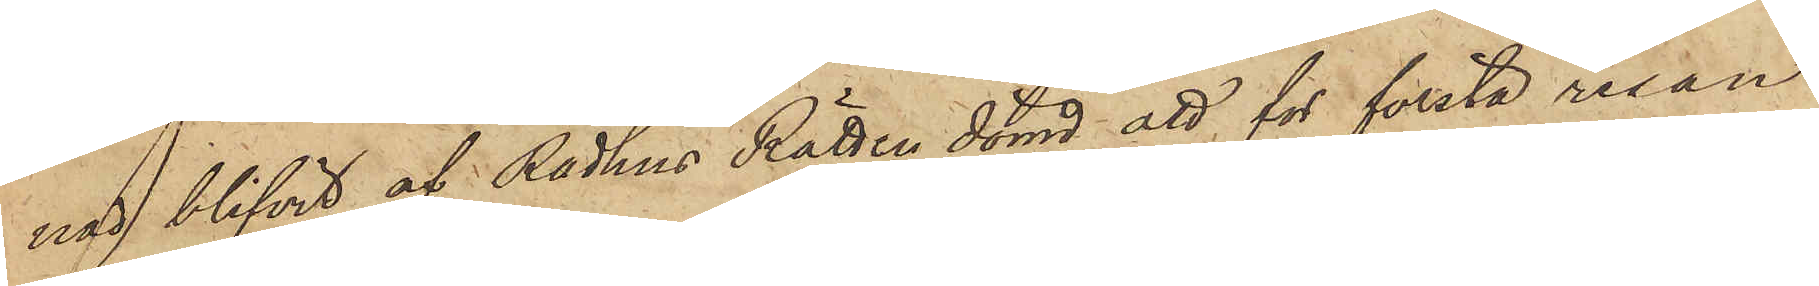nad blifvit af Rådhus Rätten dömd att för första resan
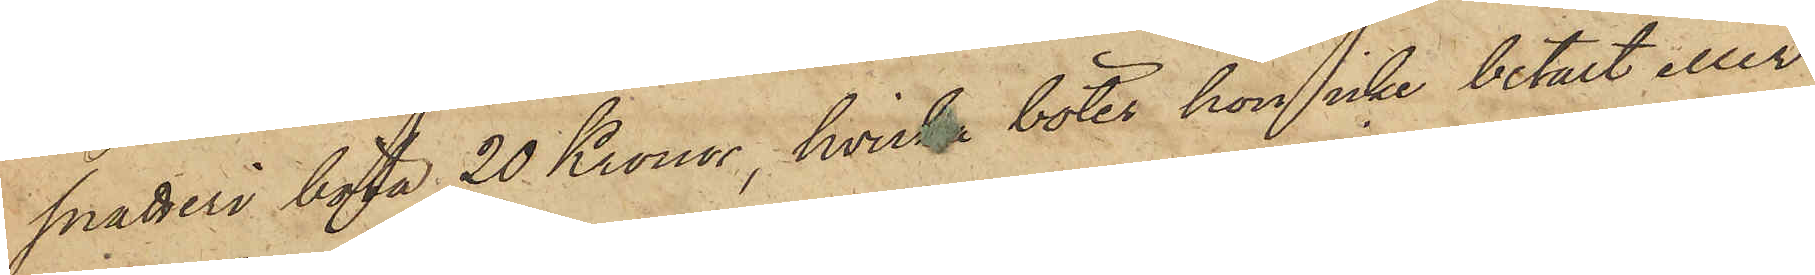snatteri böta 20 Kronor, hvilka böter hon icke betalt eller
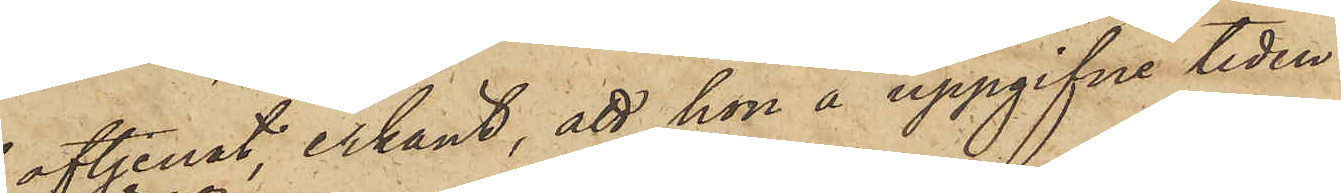aftjenat, erkänt, att hon å uppgifne tiden
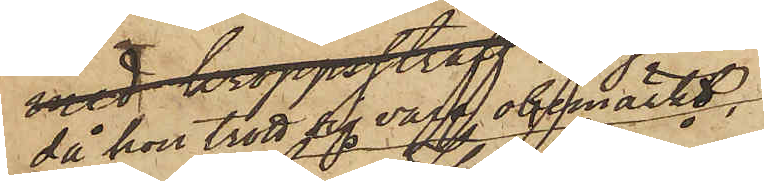då hon trott sig vara obemärkt
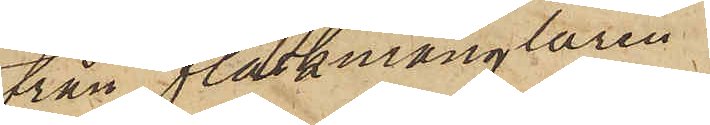från fläskmånglaren
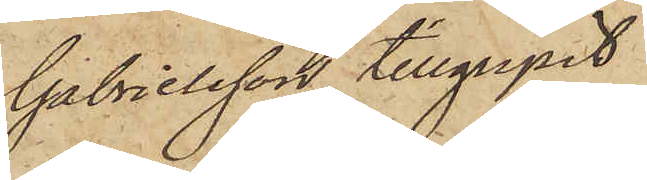Gabrielsson tillgripit
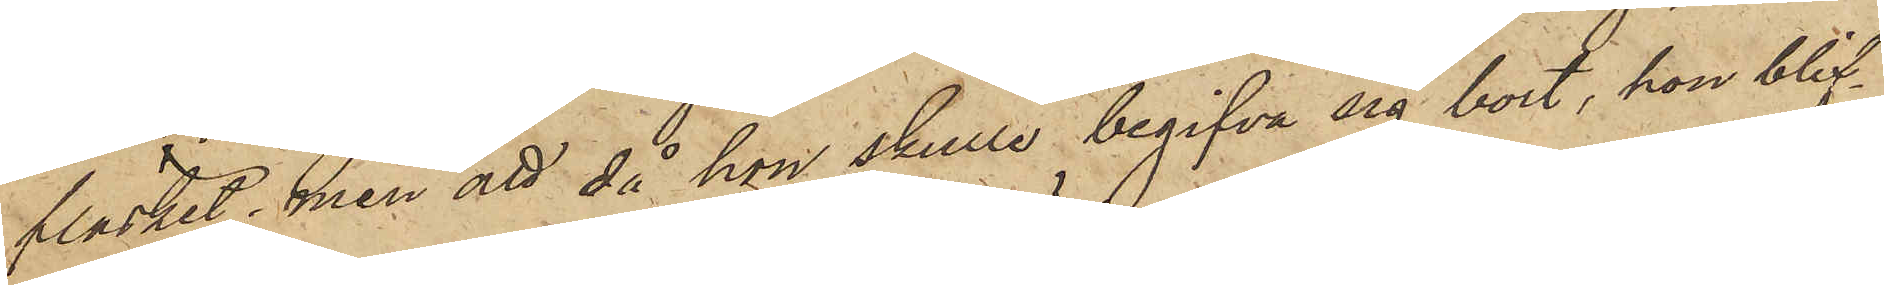fläsket, men att då hon skulle begifva sig bort, hon blif¬
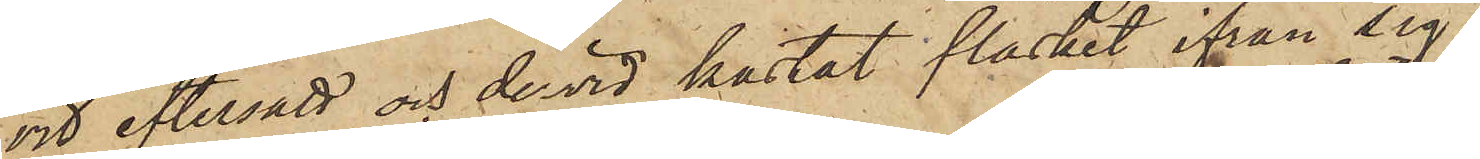vid eftersatt och dervid kastat fläsket ifrån sig.
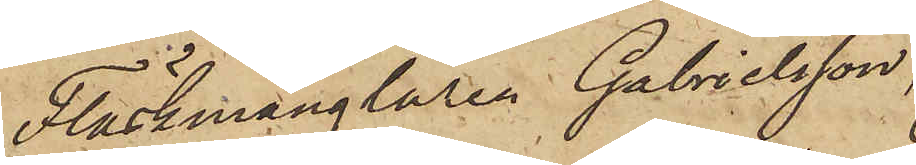Fläskmånglaren Gabrielsson,
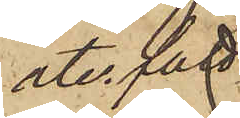återfått
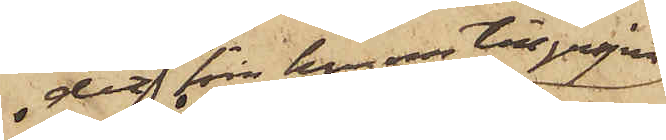det från honom tillgripne
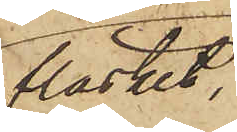fläsket.
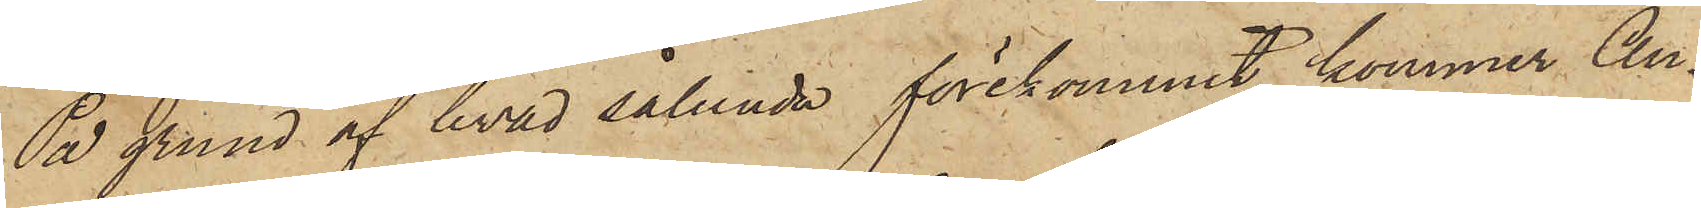På grund af hvad sålunda förekommit, kommer An¬
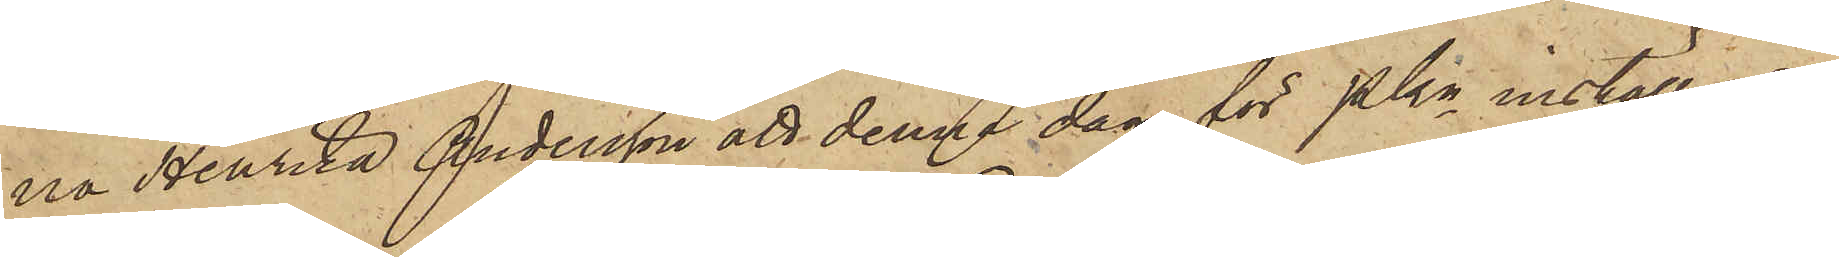na Henrika Andersson att denna dag för Pkn inställas.
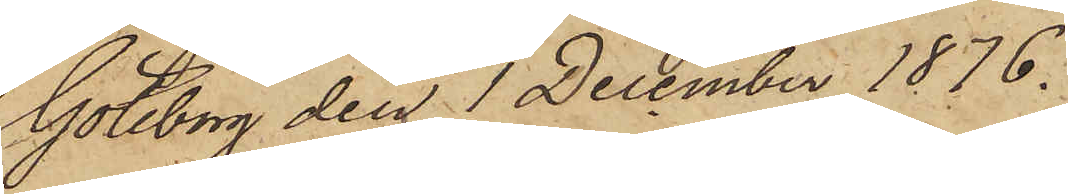Göteborg den 1 December 1876.
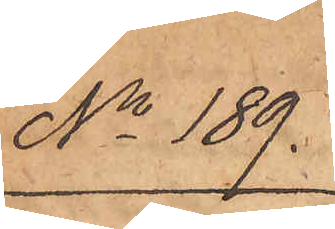No 189.
